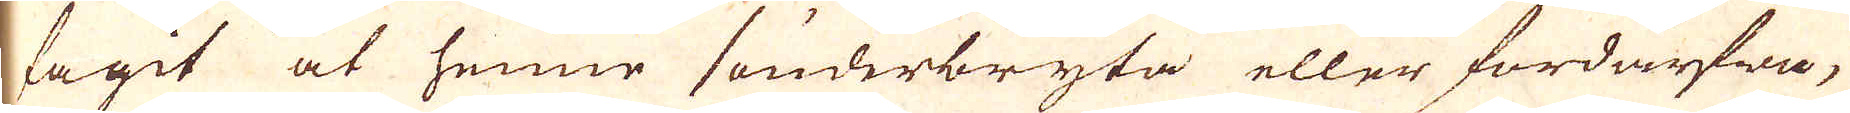tagit at henne sönderbryta eller fördärfwa,
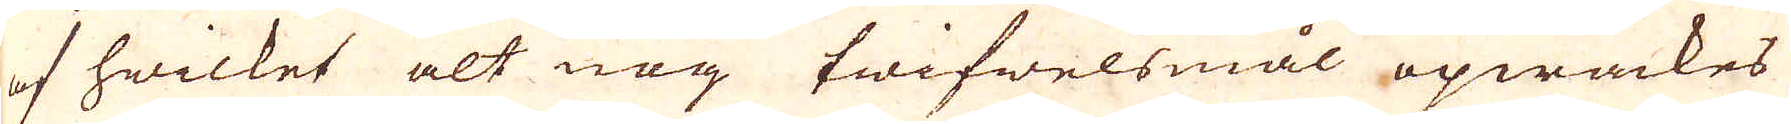af hwilket alt nog twifwelsmål opwäckes
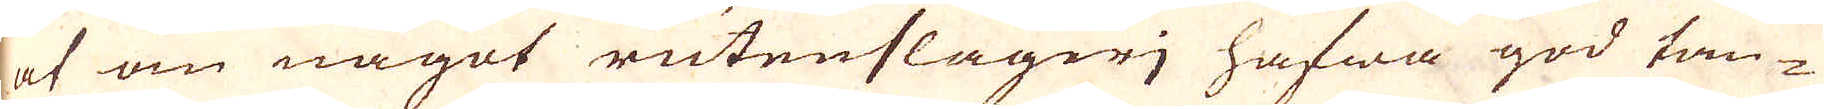at om något rutenslageri hafwa god tan-
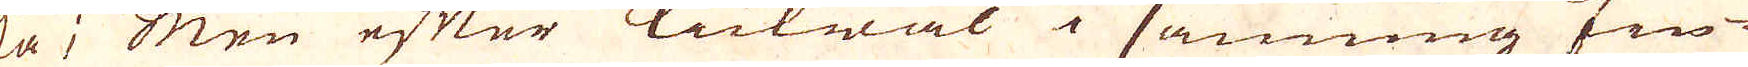ka; men efter likwäl i sanning fin-
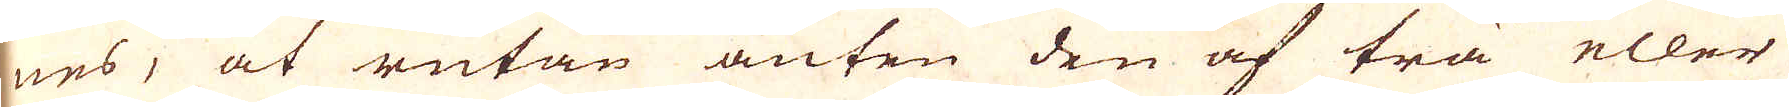nes, at rutan anten den af trä eller
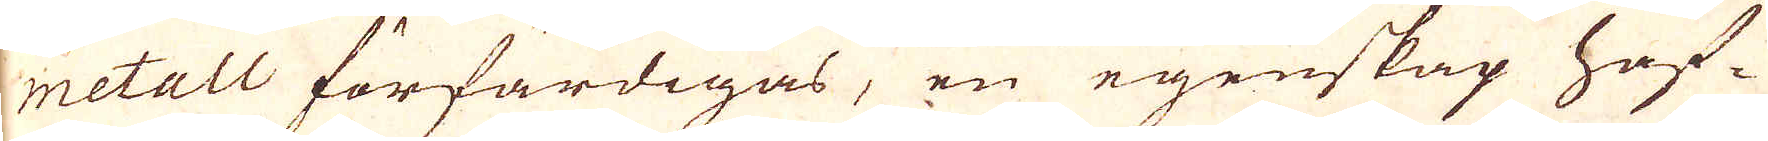metall förfärdigas, en egenskap haf-
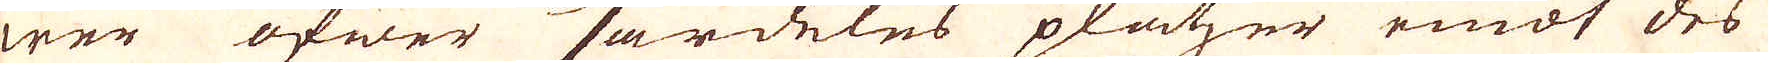wer öfwer särdeles platzer emot des
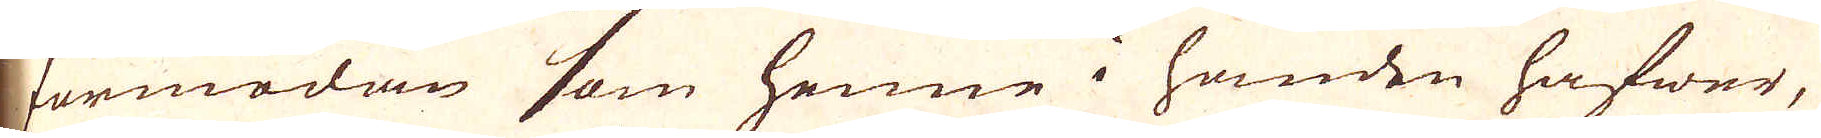förmodan som henne i handen hafwer,
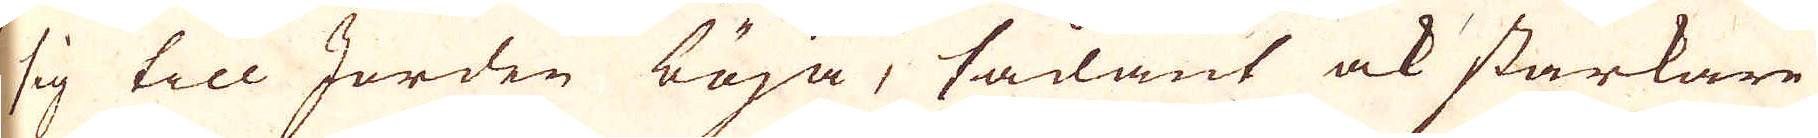sig till Jorden böja, sådant ock starkare
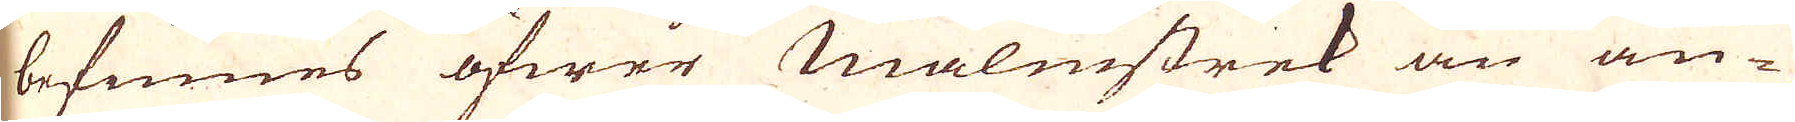befnnes öfwer Malmstrek än an-
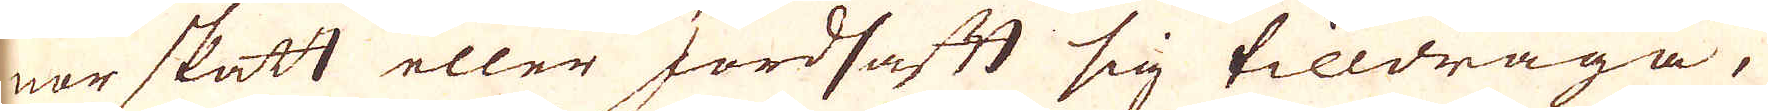nor skatt eller Jordsaft sig tilldraga,
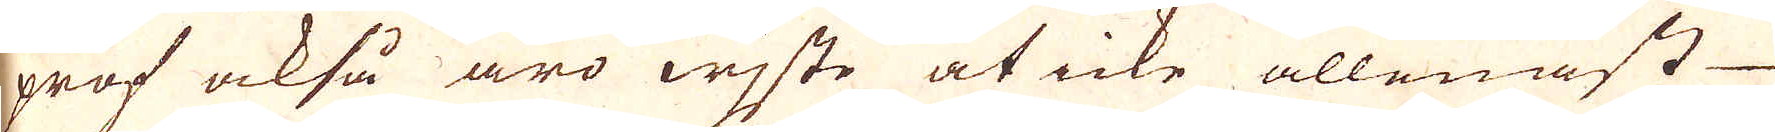prof också äro wijste at icke allenast
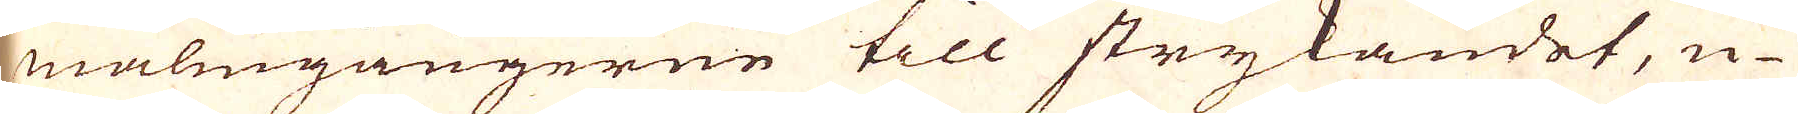malmgångerne till strykandet, u-
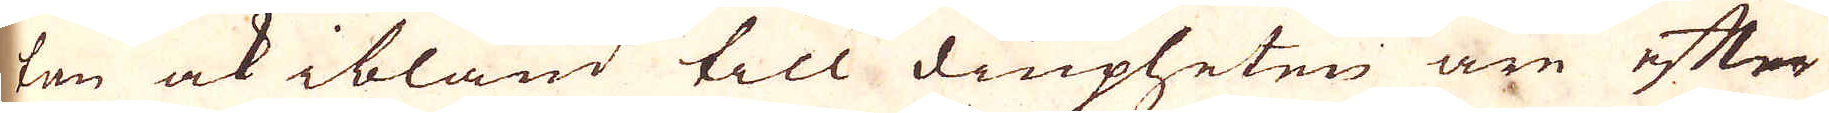tan ock ibland till diupheten äre efter
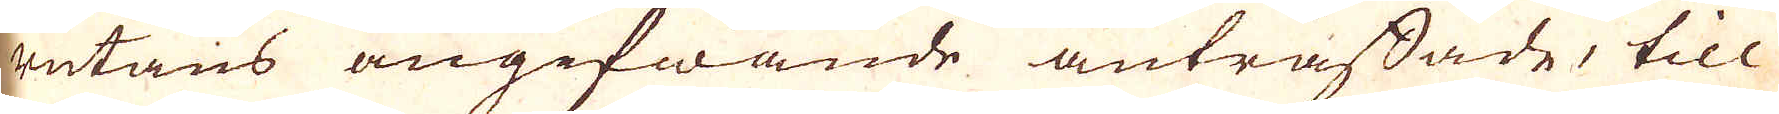rutans angifwande anträffade, till
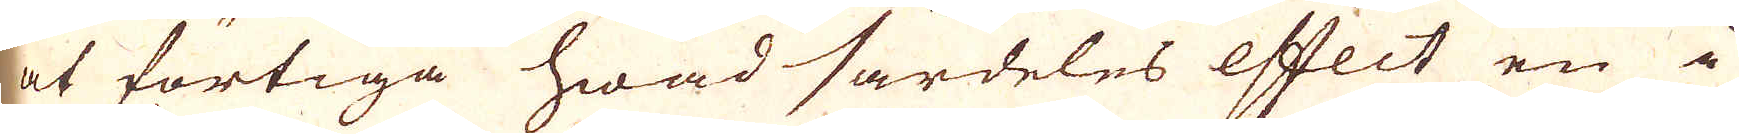at förtiga hwad särdeles effect en i
